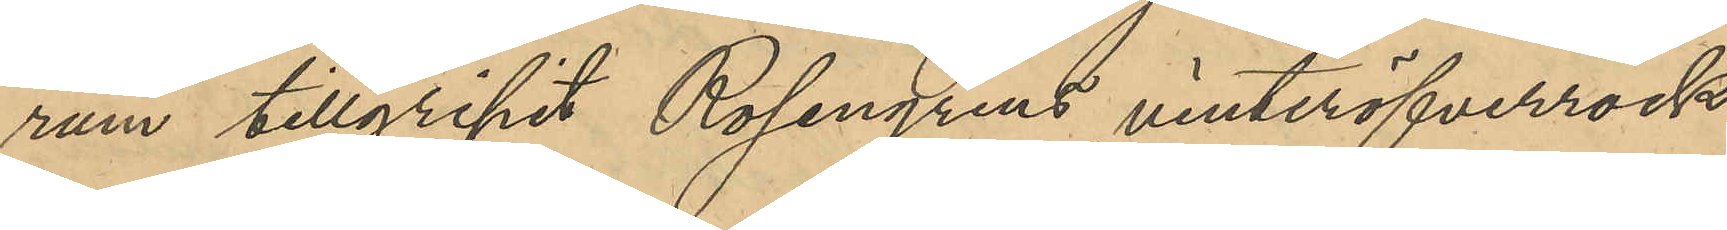rum tillgripit Rosengrens vinteröfverrock
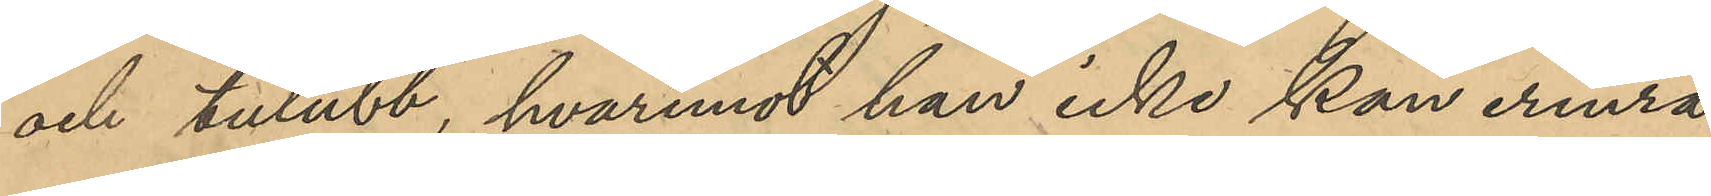och tulubb, hvaremot han icke kan erinra
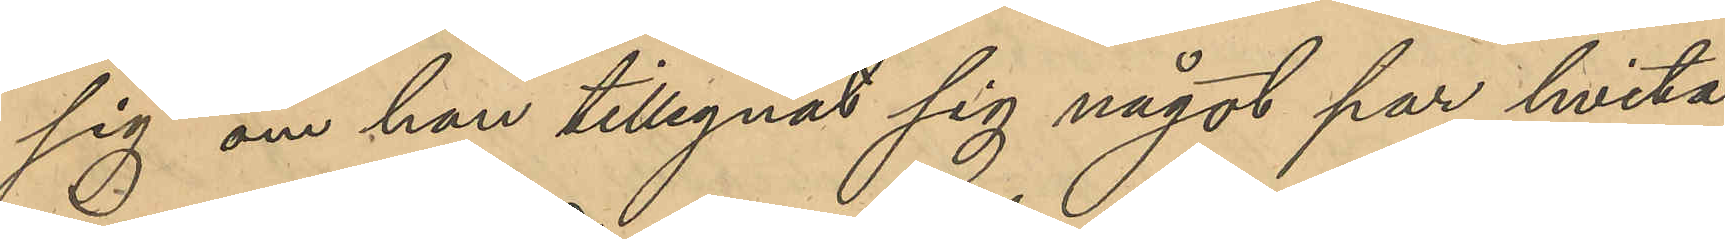sig om han tillegnat sig något par hvita
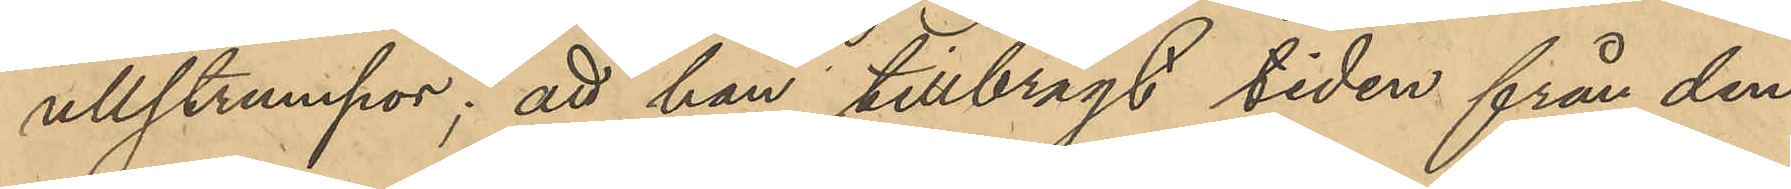ullstrumpor; att han tillbragt tiden från den
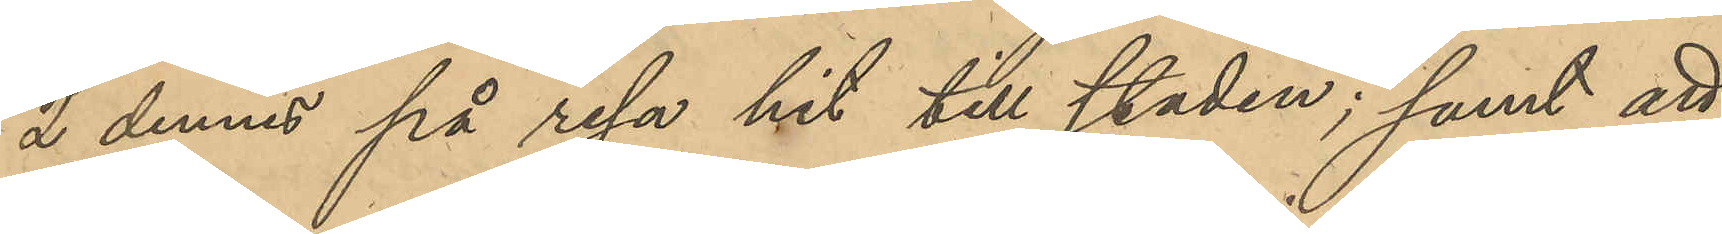2 dennes på resa hit till staden; samt att
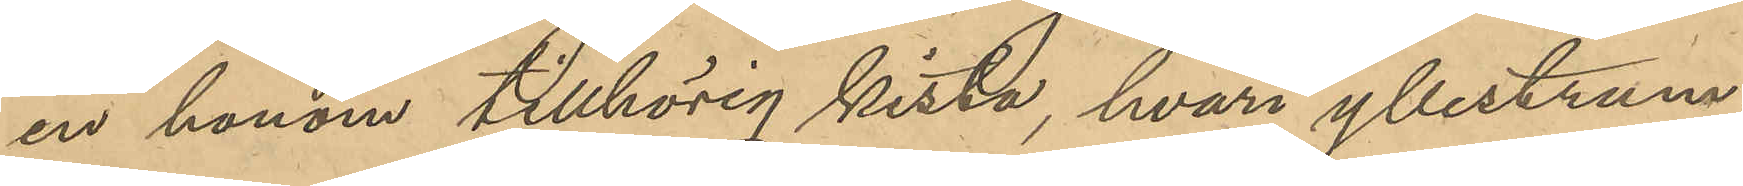en honom tillhörig kista, hvari yllestrum¬
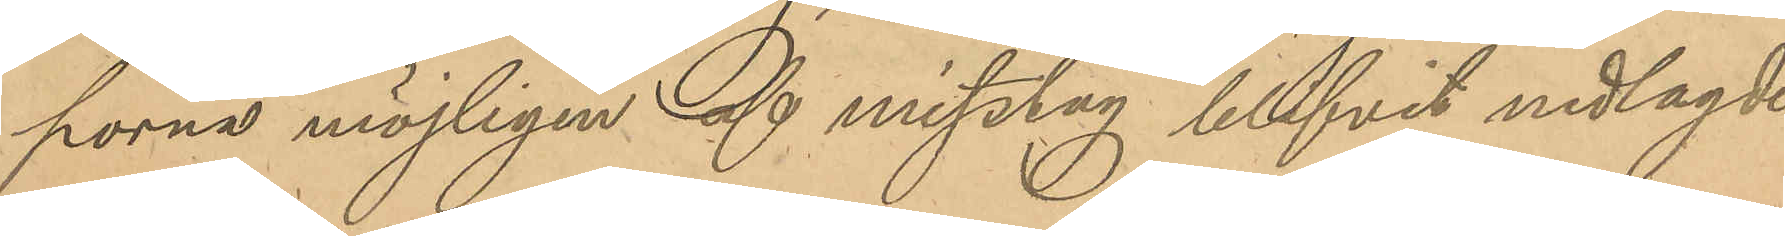porna möjligen af misstag blifvit nedlagde
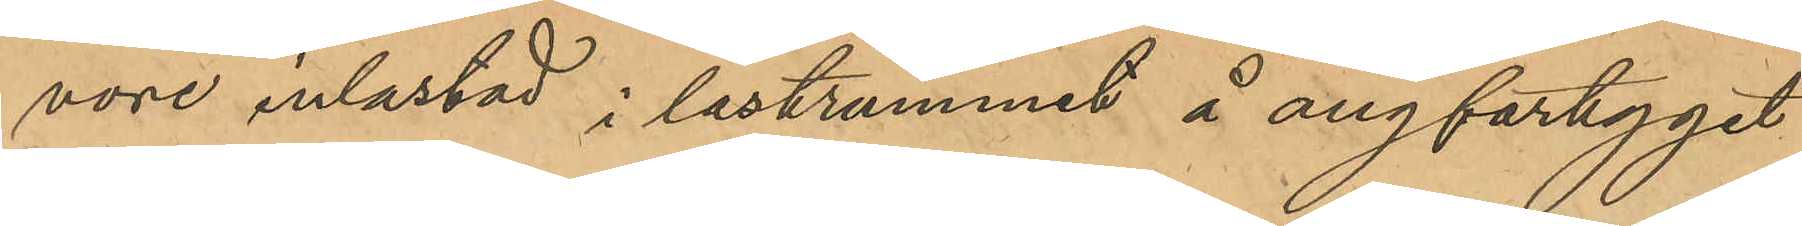vore inlastad i lastrummet å ångfartyget
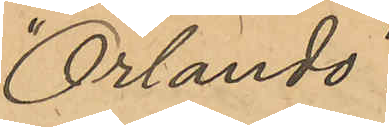"Orlando".
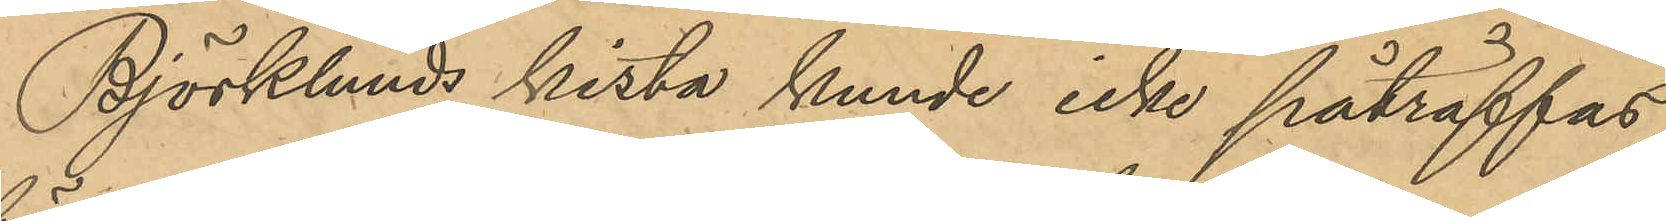Björklunds kista kunde icke påträffas
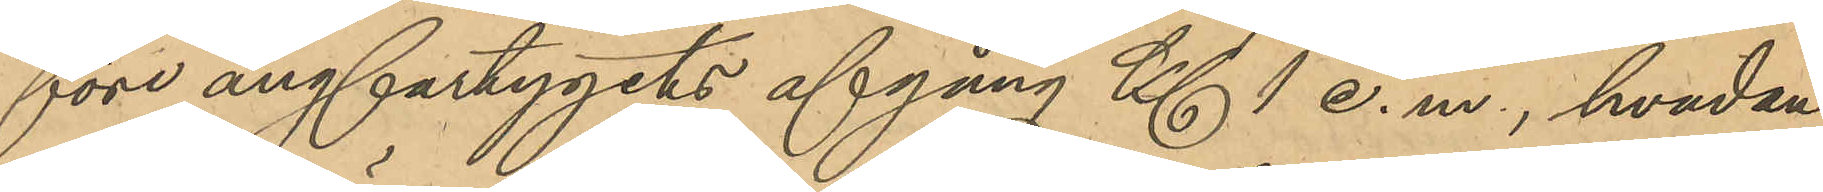före ångfartygets afgång Kl 1 e. m., hvadan
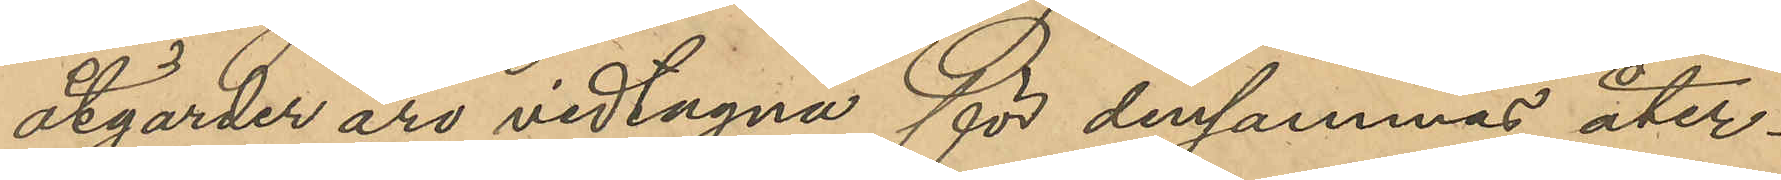åtgärder äro vidtagna för densammas åter¬
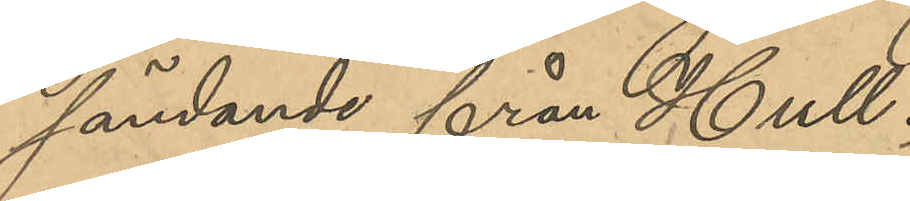färdande från Hull.
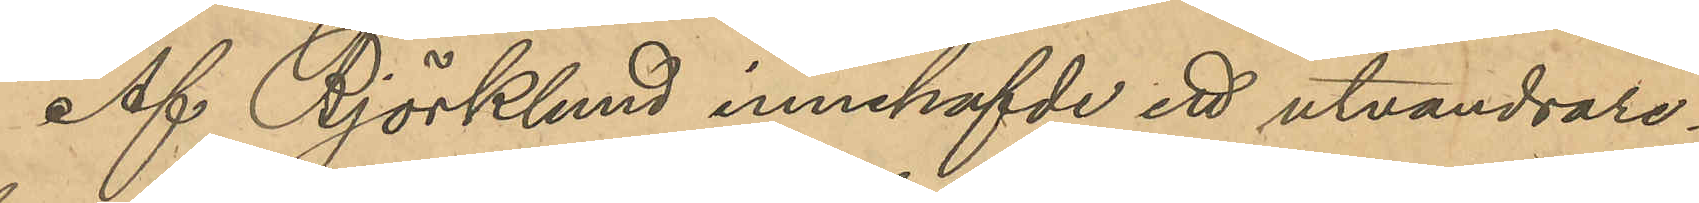Af Björklund innehafvde ett utvandrare¬
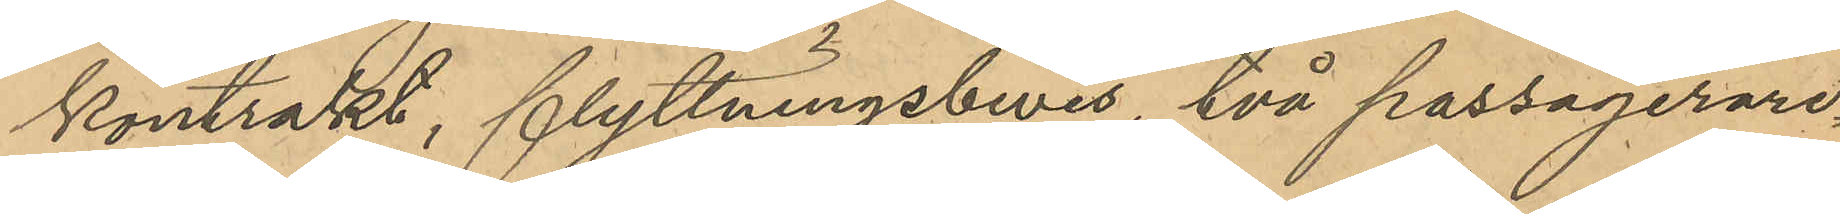kontrakt, flyttningsbevis, två passagerare¬
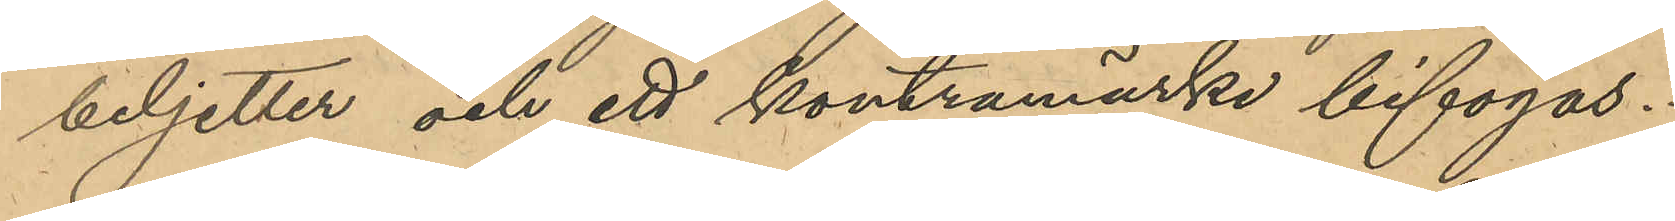biljetter och ett kontramärke bifogas.
